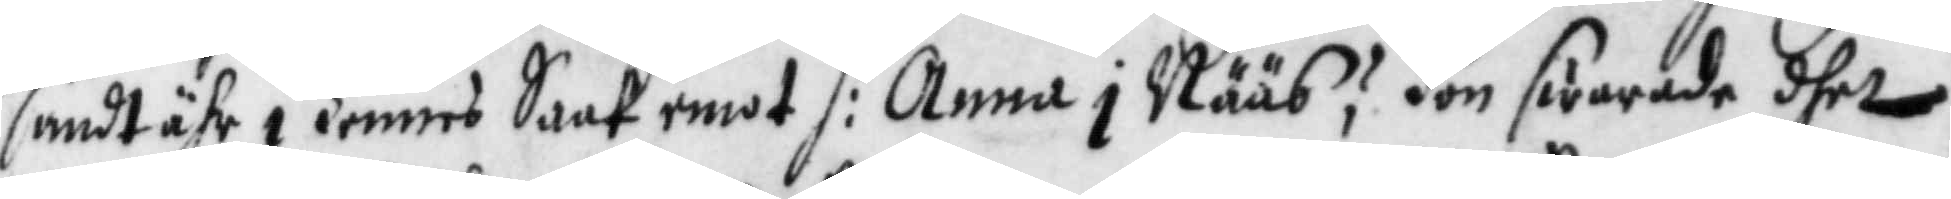sandt ähr i hennes Saak emot h: Anna i Nääs? Hon swarade dhet
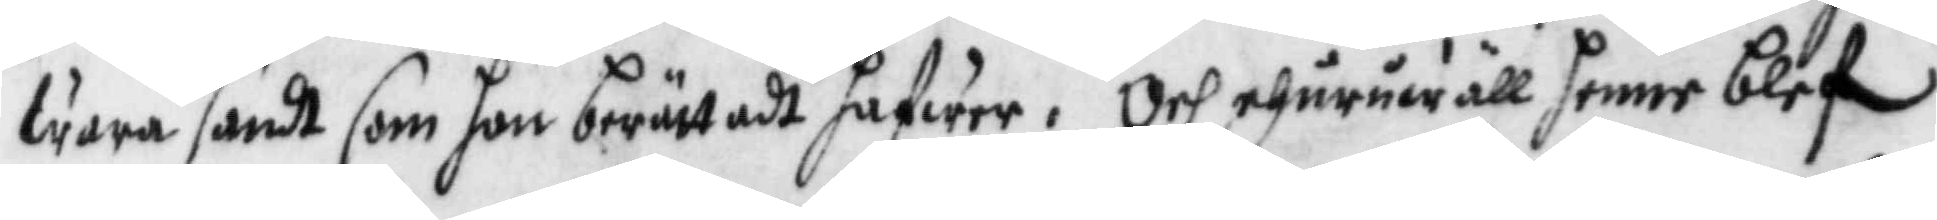wara sandt som hon berättadt hafwer. Och ehuruwäll henne blef
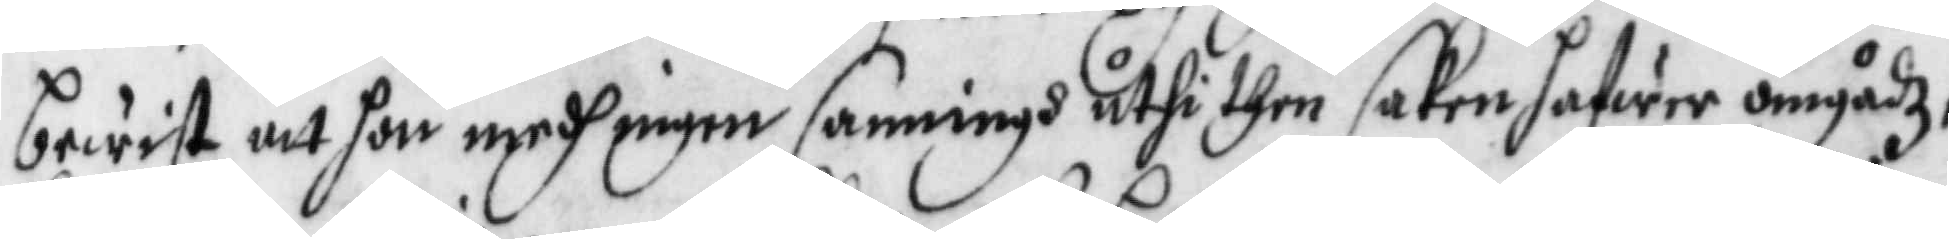bewist att hon medh ingen sanningh uthi then saken hafwer omgådz
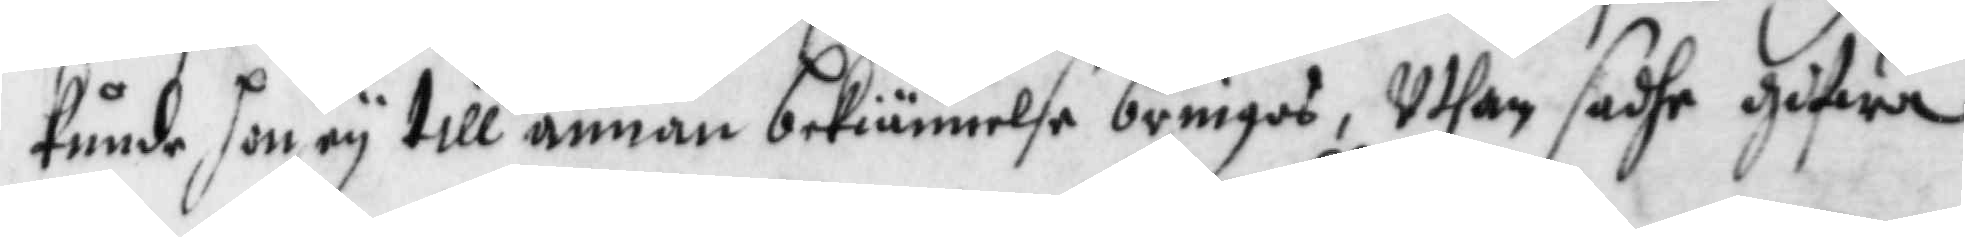kunde hon ey till annan bekiännelse bringas, Uthan sadhe gifwa
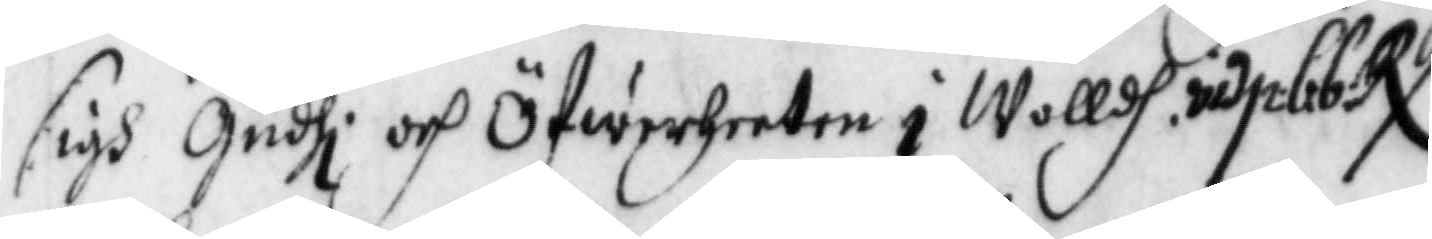sigh Gudhi och Öfwerheeten i Wolldh. vid. p. 66 RX.
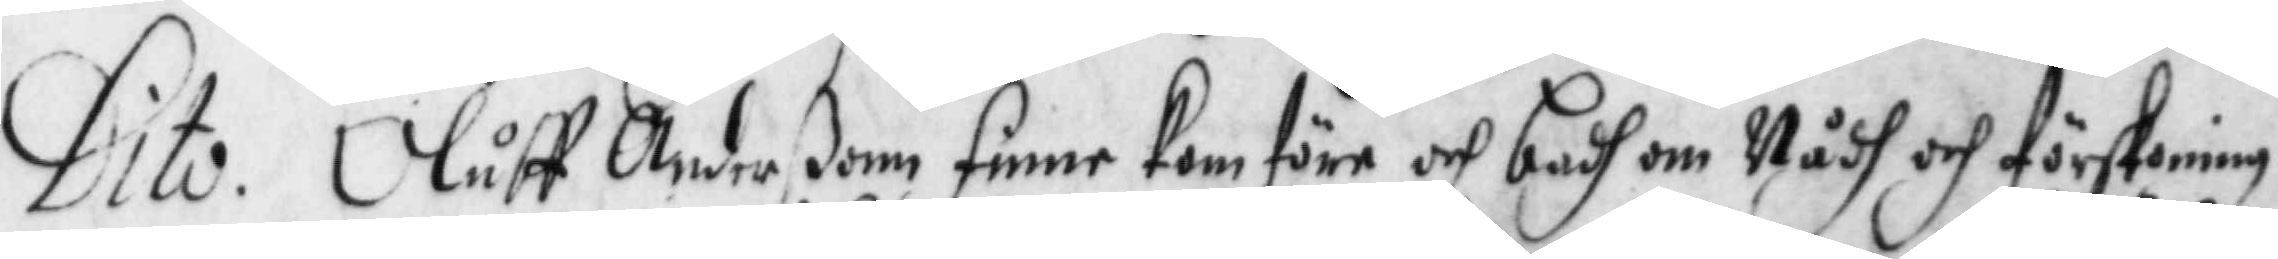Dito. Oluff Anderßon finne kom före och badh om Nådh och förskoning
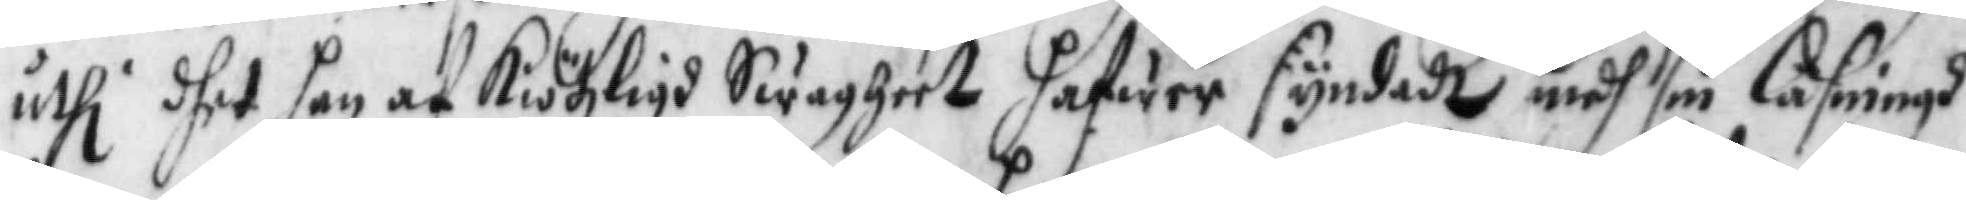uthi dhet han af kiötzligh Swagheer hafwer syndadt medh sin läsningh
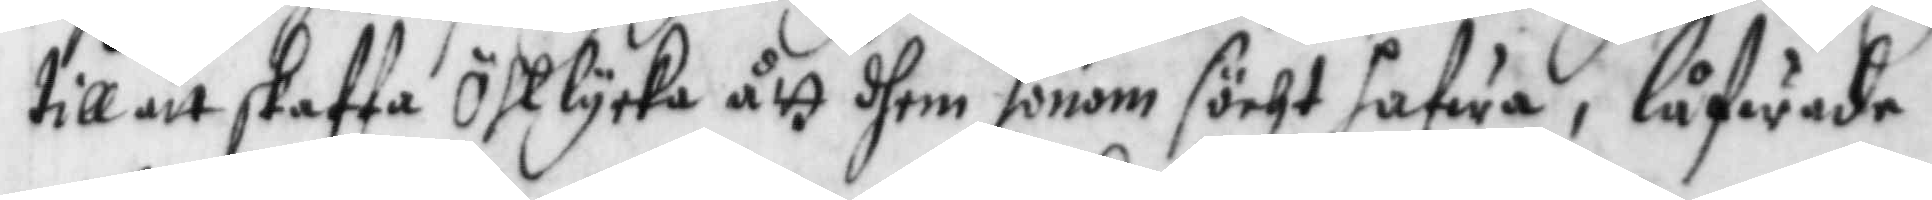till att skaffa Öhllycka ått dhem honom söcht hafwa, låfwade
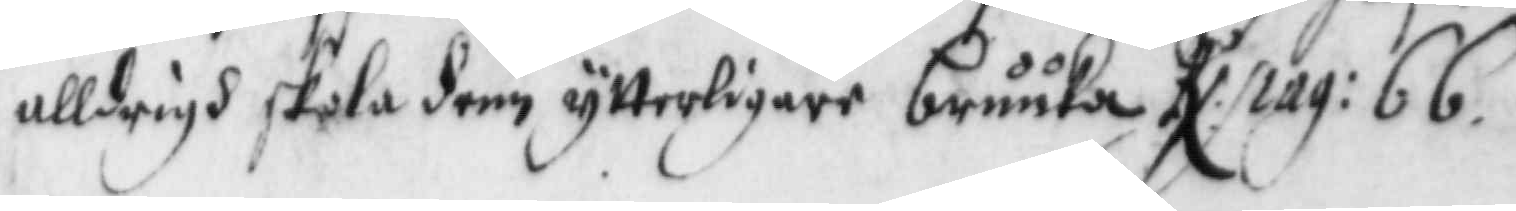alldrigh skola dem ytterligare bruuka. RX. pag: 66.
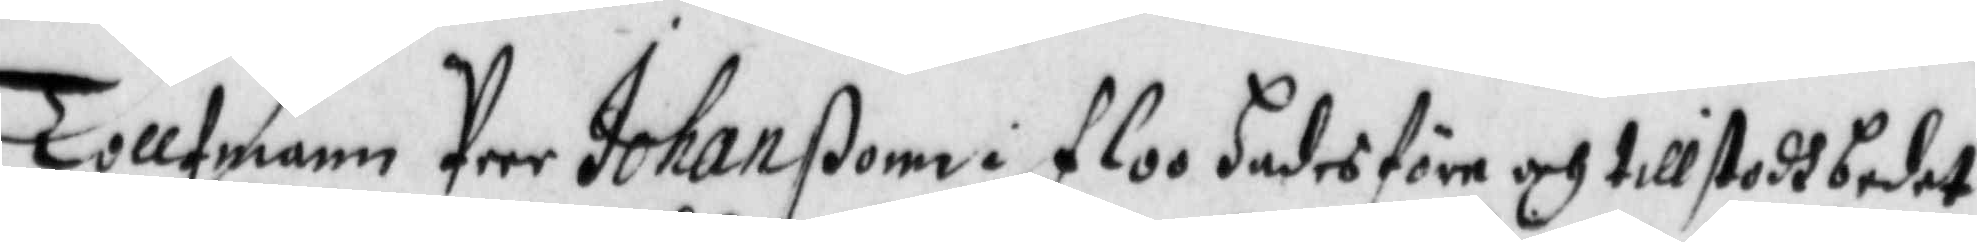Tollfmann Peer Johanßon i floo hades före och tillstodh bedet
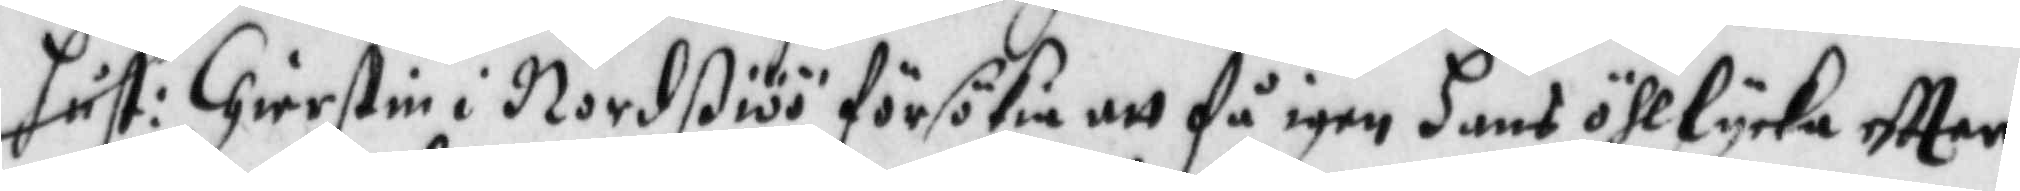hust: Chierstin i Nordßiöö försökia att få igen hans öhllycka eftter
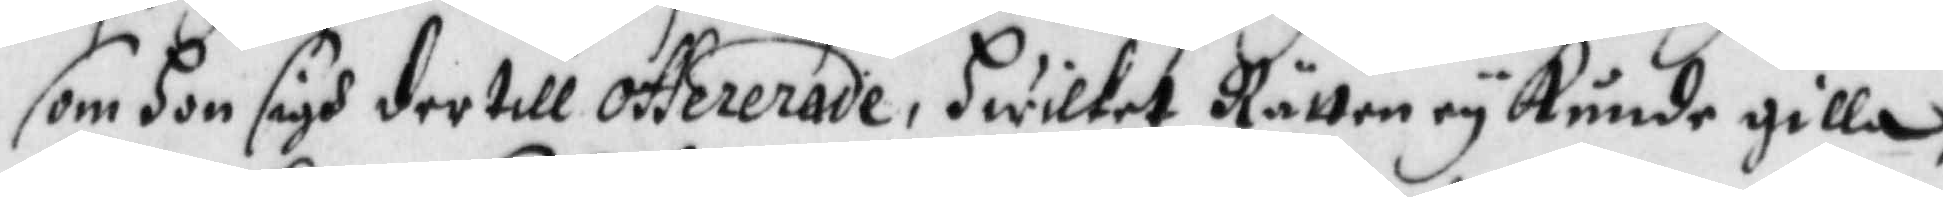som hon sigh der till offererade, hwilket Rätten ey kunde gilla, 
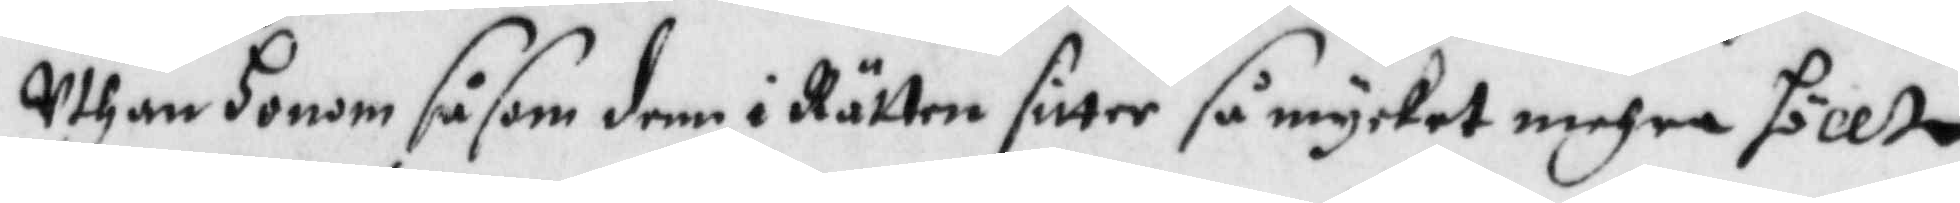Uthan Honom såsom denn i Rätten sitter så mycket mehra höllt
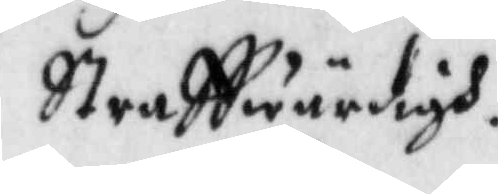Straffwärdigh.
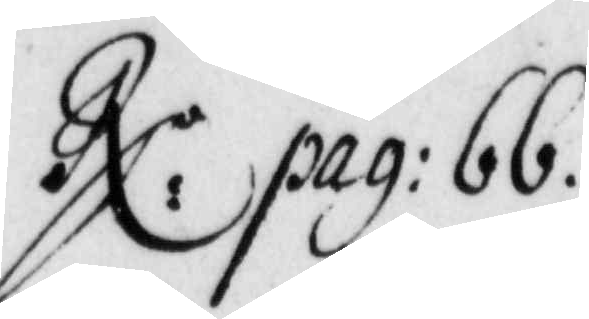RX: pag: 66.
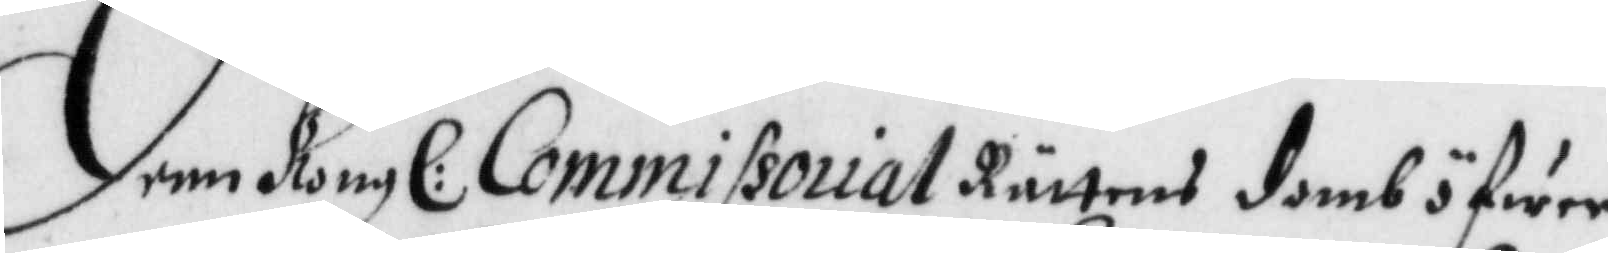Denn Kongl: Commissorial Rättens domb öfwer
